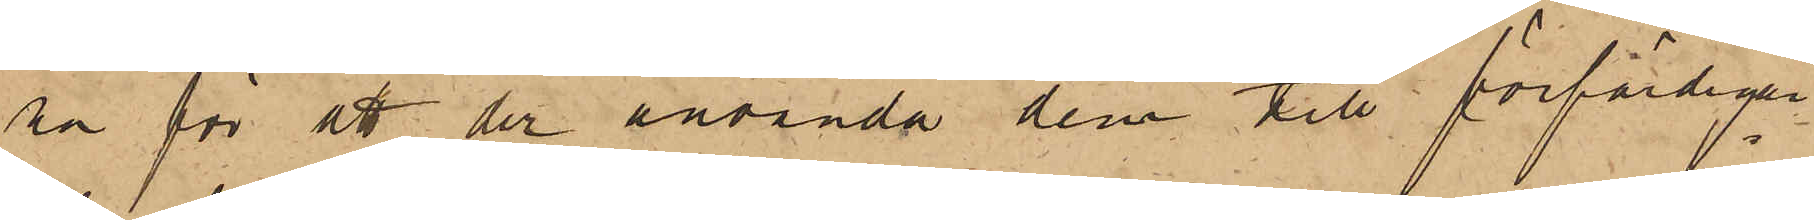na för att der använda dem till förfärdigan¬
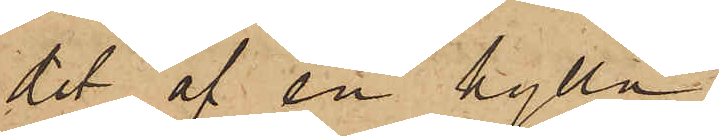det af en hylla.
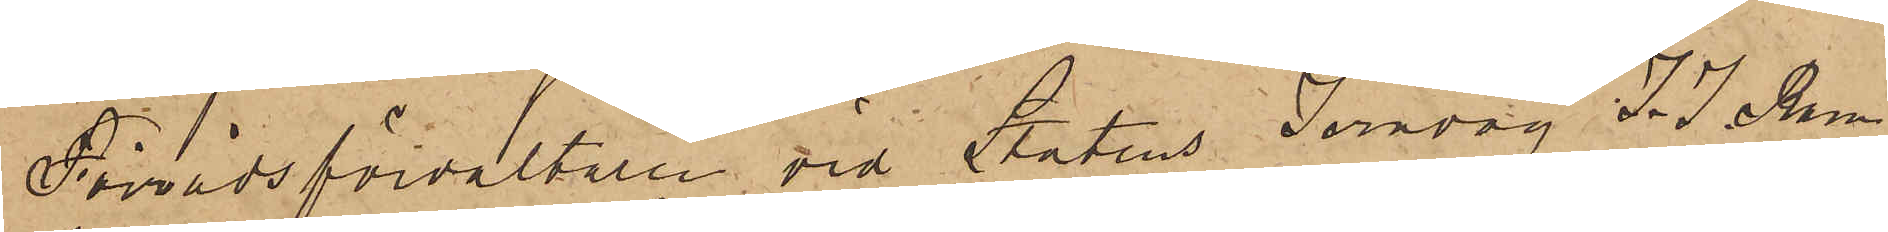Förrådsförvaltaren vid Statens Järnväg J. J. Ram¬
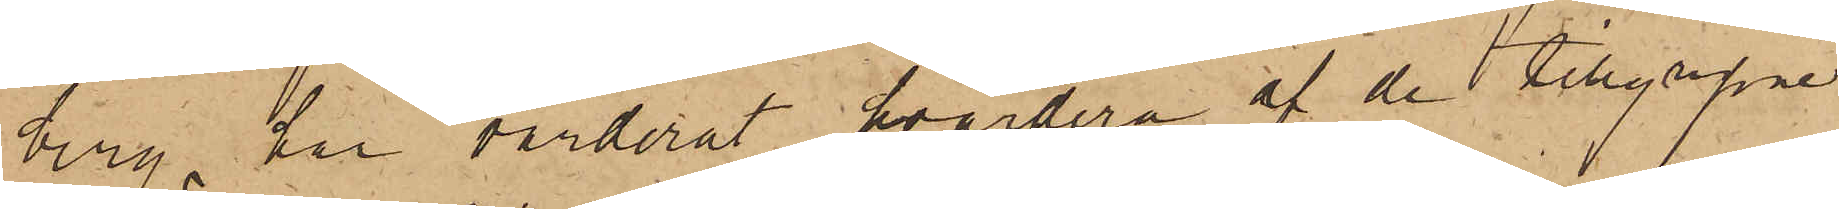berg har värderat hvardera af de tillgripne
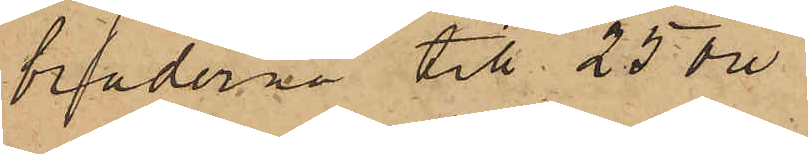bräderna till 25 öre.
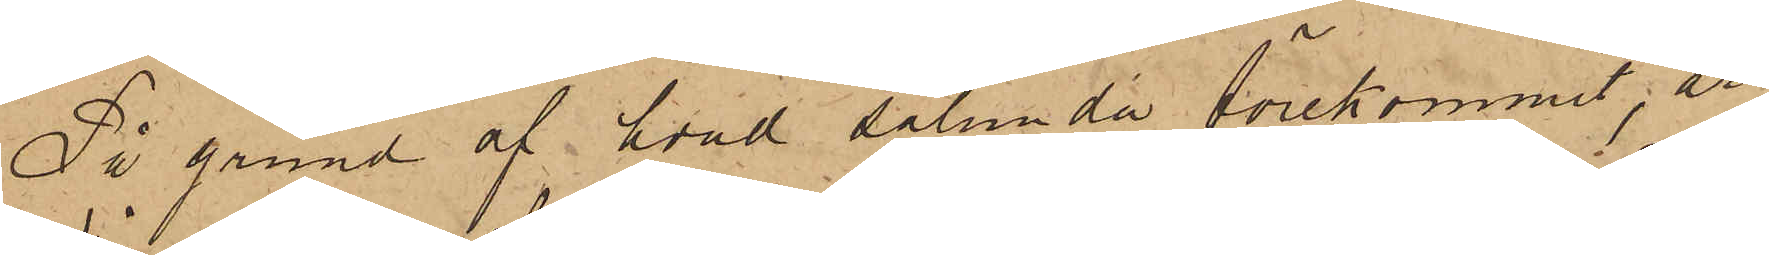På grund af hvad sålunda förekommit, är
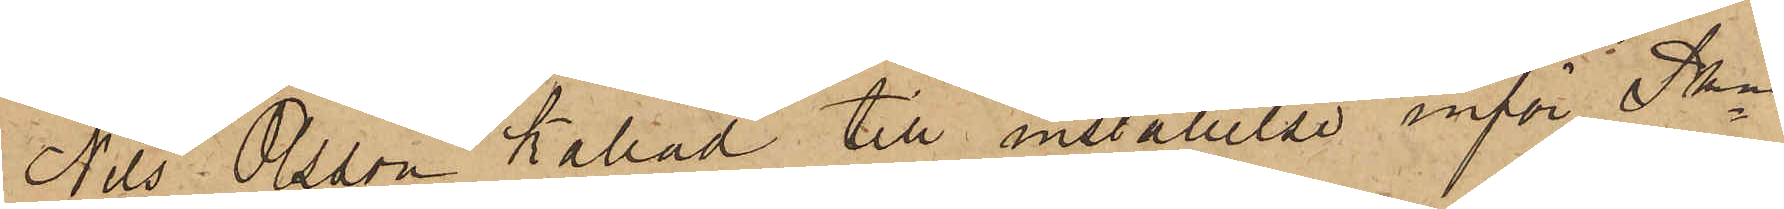Nils Olsson kallad till inställelse inför Pkn
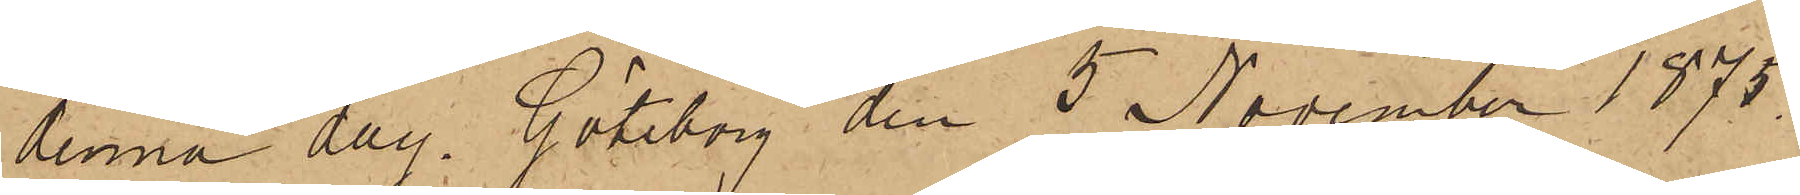denna dag. Göteborg den 5 November 1875.
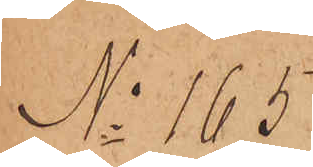No 165
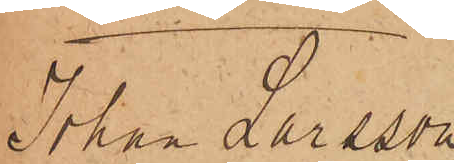Johan Larsson
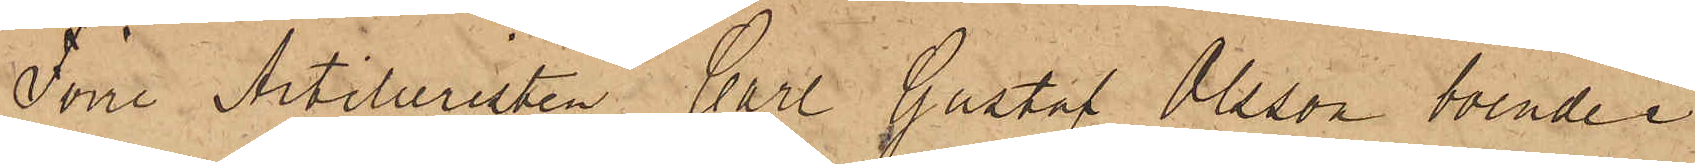Förre Artilleristen Carl Gustaf Olsson, boende i
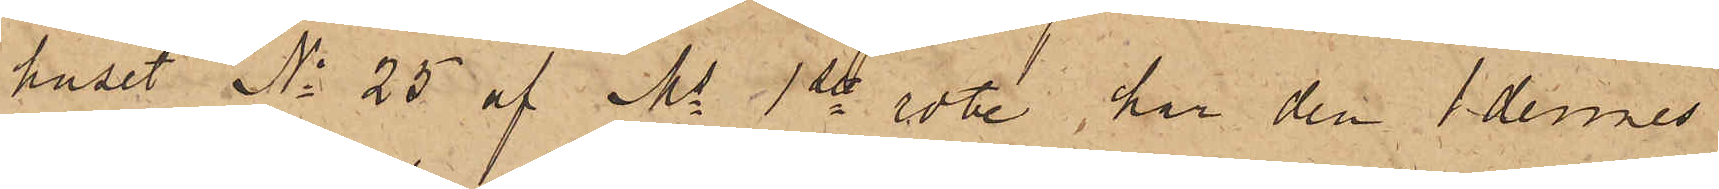huset No 25 af Ms 1ste rote, har den 1 dennes
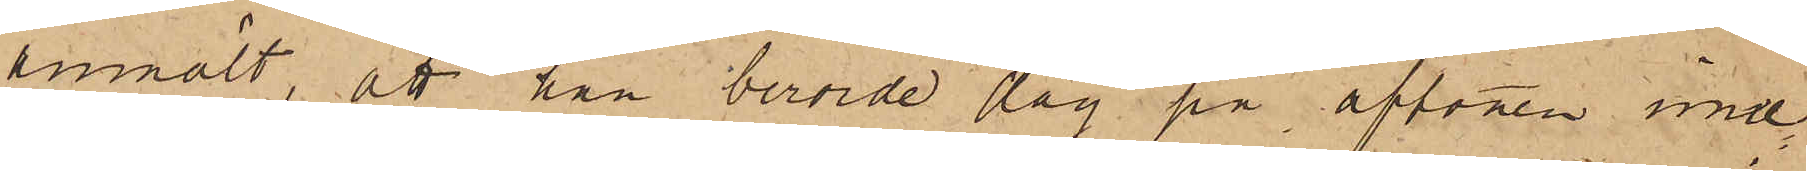anmält, att han berörde dag på aftonen inne¬
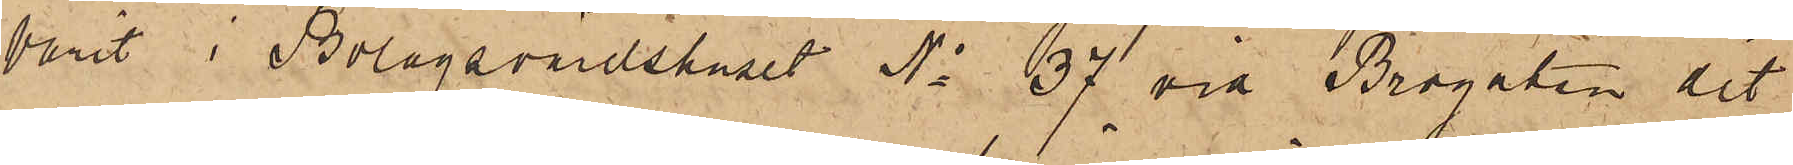varit i Bolagsvärdshuset No 37 vid Brogatan dit
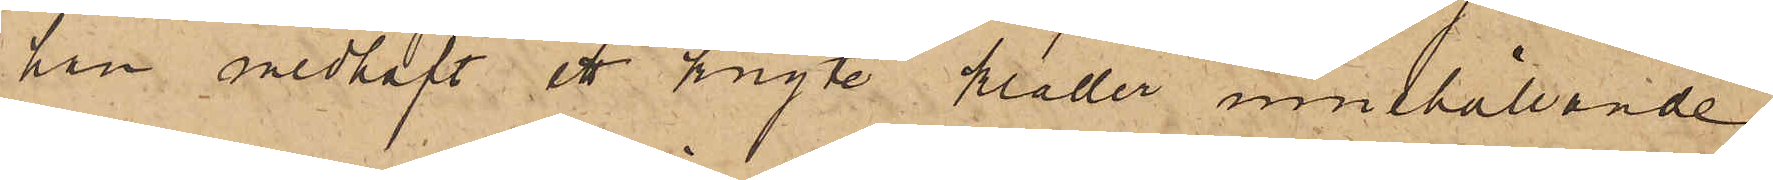han medhaft ett knyte kläder, innehållande
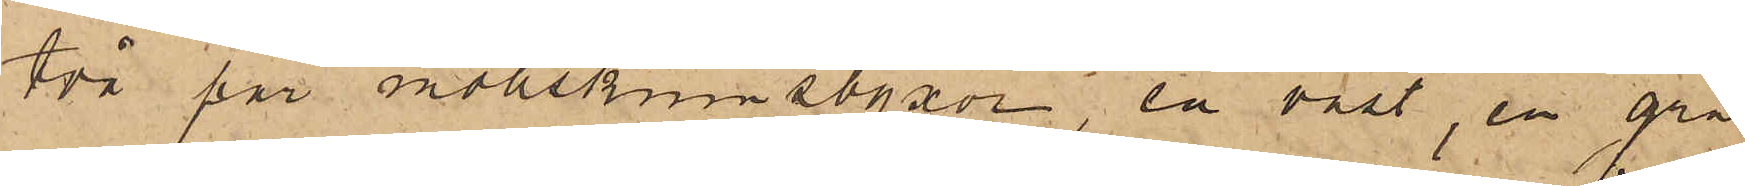två par mollskinnsbyxor, en väst, en grå
